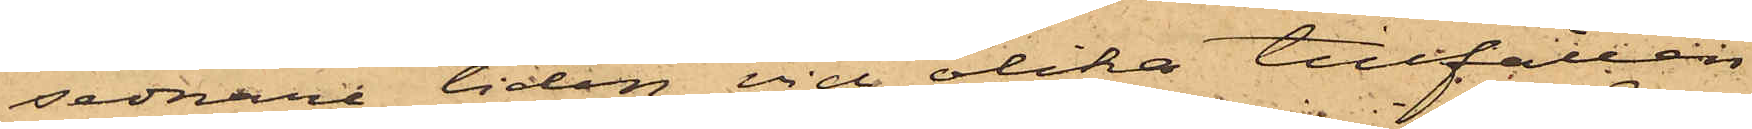sednare tiden vid olika tillfällen
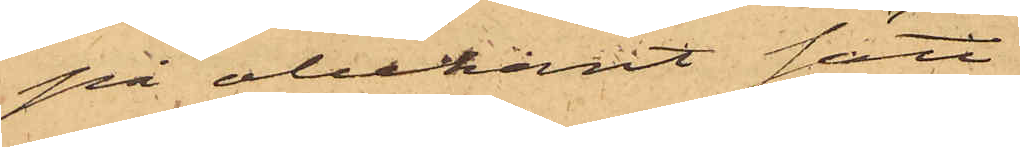på obekant sätt
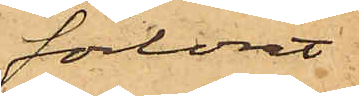förlorat
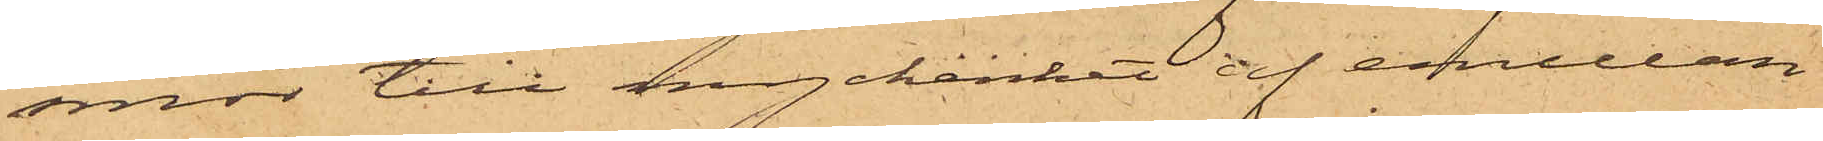smör till myckenhet af emellan
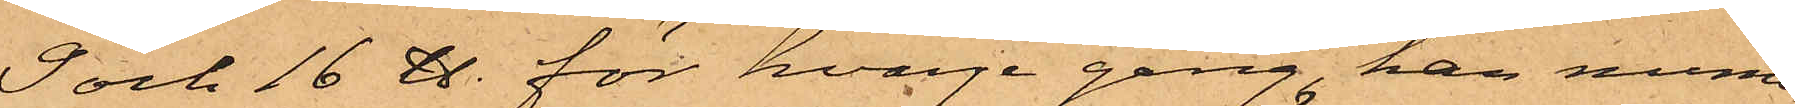9 och 16 ℔. för hvarje gång, han nume¬
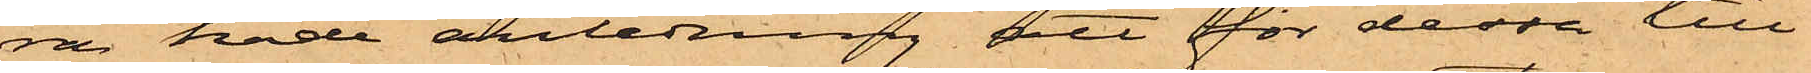ra hade anledning att för dessa till¬
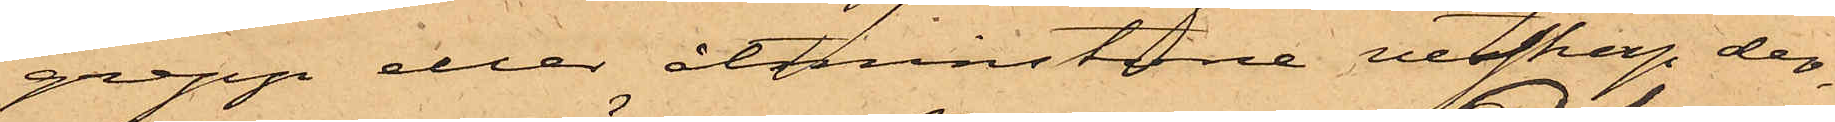grepp eller åtminstone vetskap der¬
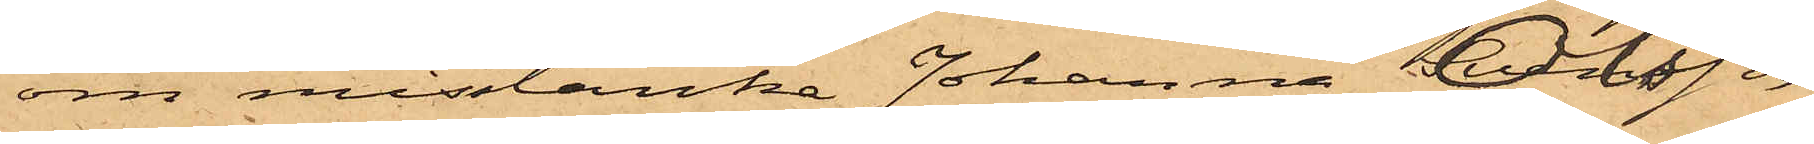om misstänka Johanna Olsson,
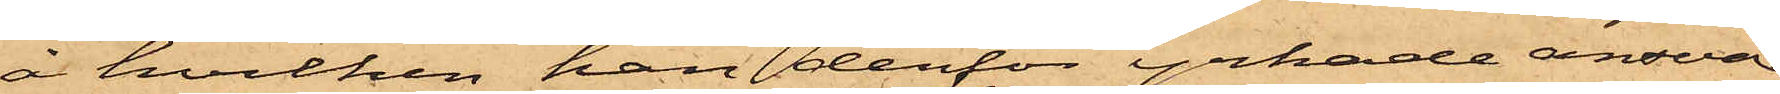å hvilken han derför yrkade ansvar
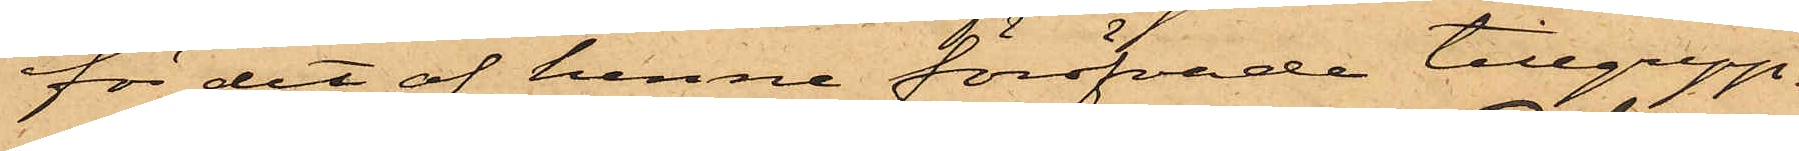för det af henne föröfvade tillgrepp.
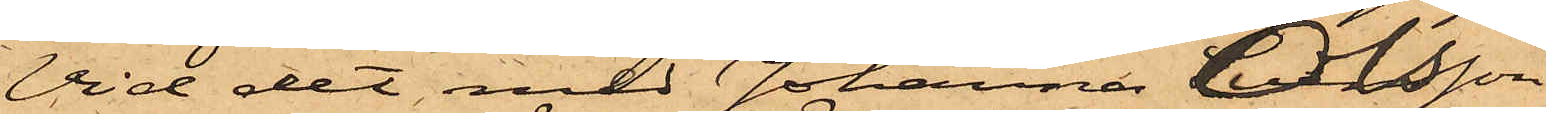Vid det med Johanna Olsson
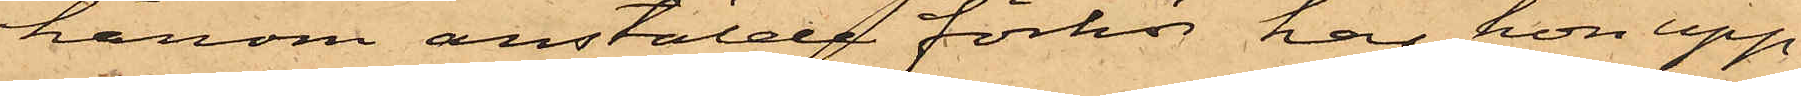härom anstälde förhör har hon upp¬
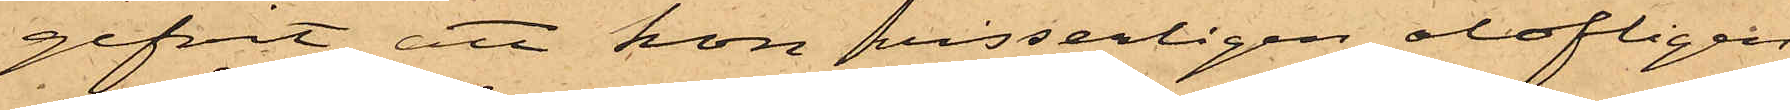gifvit, att hon visserligen olofligen
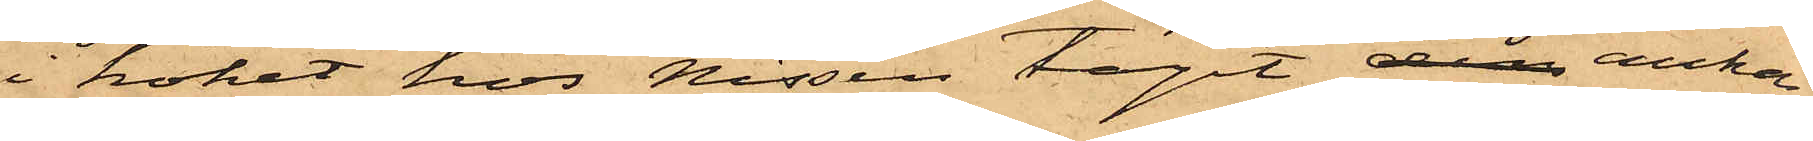i köket hos Nissen tagit den ankar¬
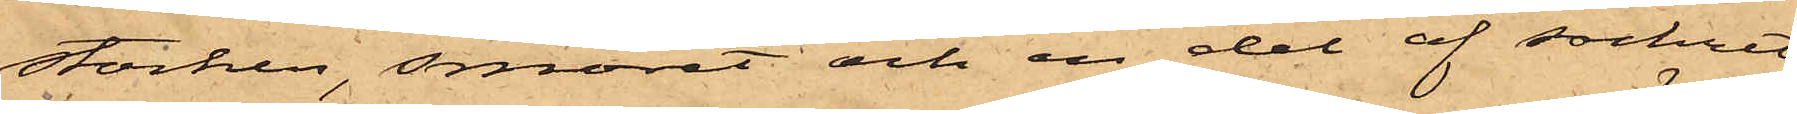stocken, smöret och en del af sockret,
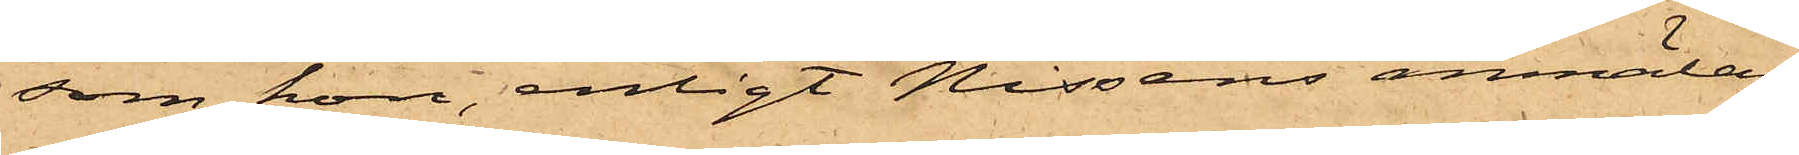som hon, enligt Nissens anmälan
